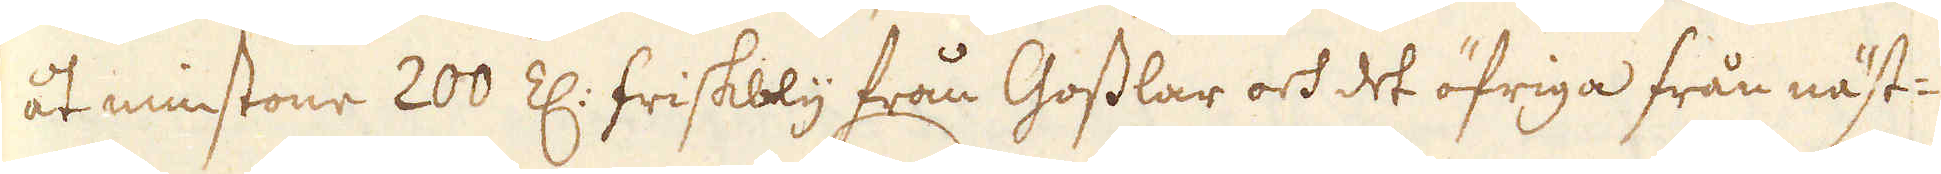åt minstone 200 Z: friskbly från Gosslar och det öfriga från näst-
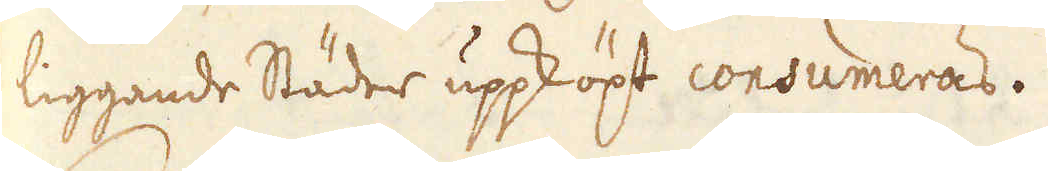liggande Städer uppköpt consumeras.
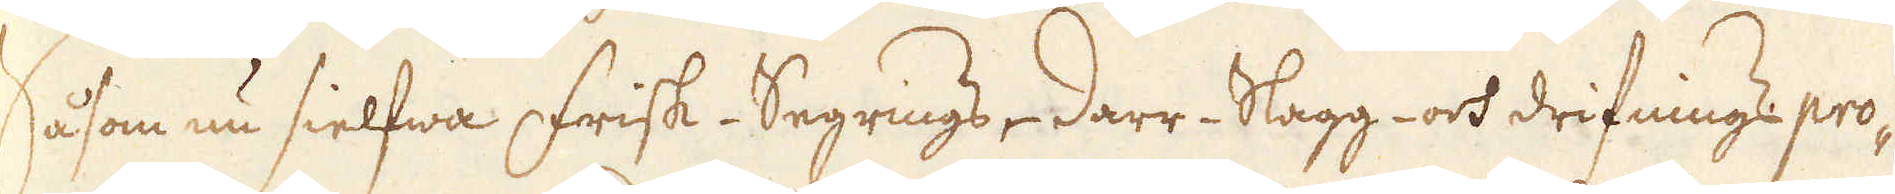Såsom nu sielfwa Frisk- Segrings- Darr- Slagg- och drifnings pro-
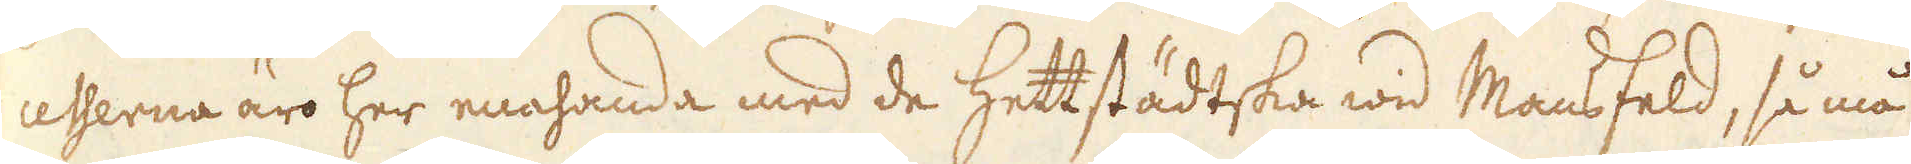cesserna äro her enahanda med de Hettstädtska wid Mansfeld, så må
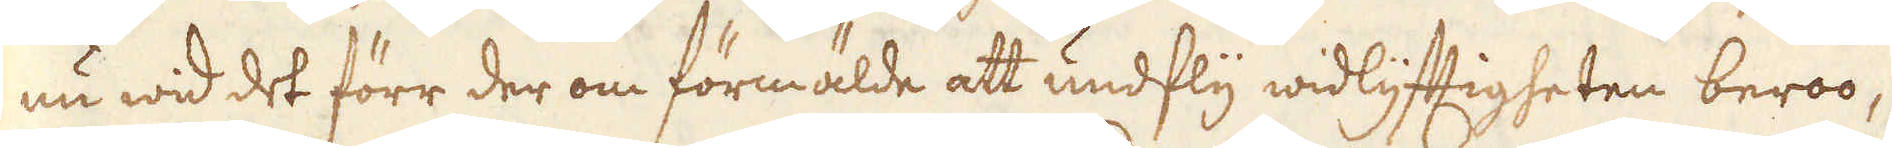nu wid det förr der om förmälde att undfly widlyfftigheten beroo,
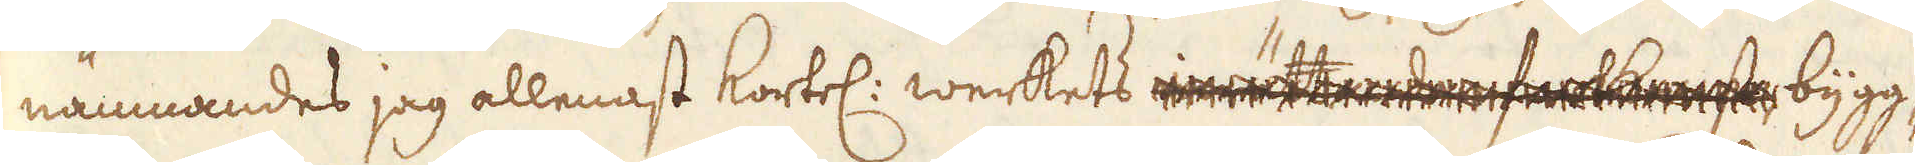nämnandes jag allenast kortel: werkets inrättande fortkomst bygg-
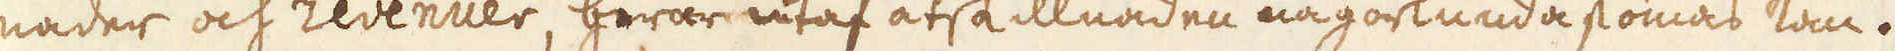nader och revenuer, hwar utaf åtskillnaden någorlunda skönias kan.
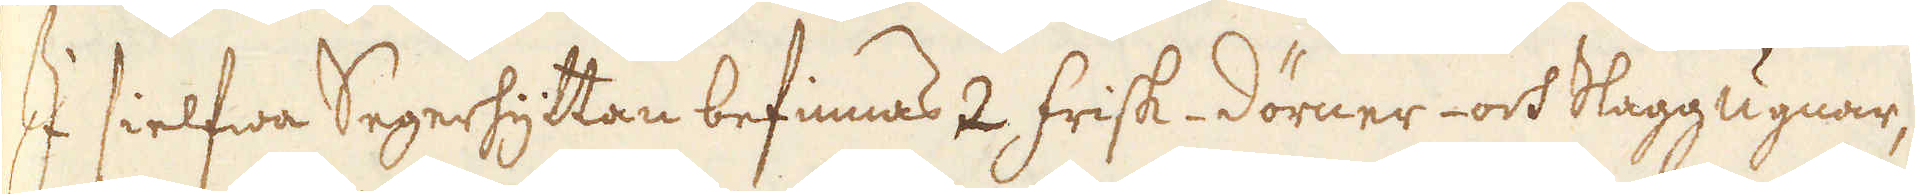I sielfwa Segerhyttan befinnas 2 Frisk- Dörner- och Slaggugnar,
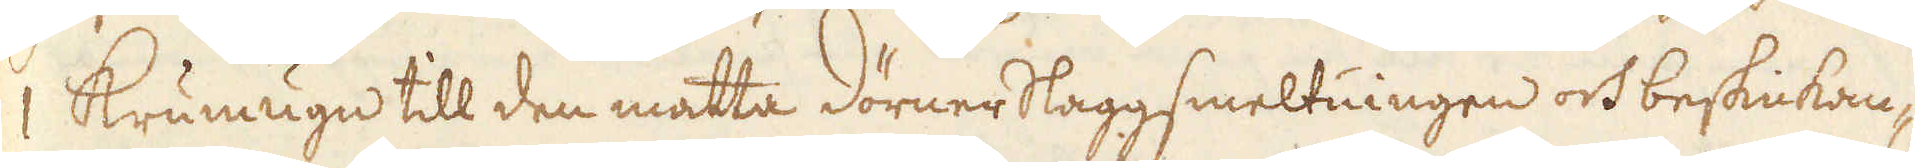1 Krumugn till den matta Dörnerslaggsmeltningen och beskickan-
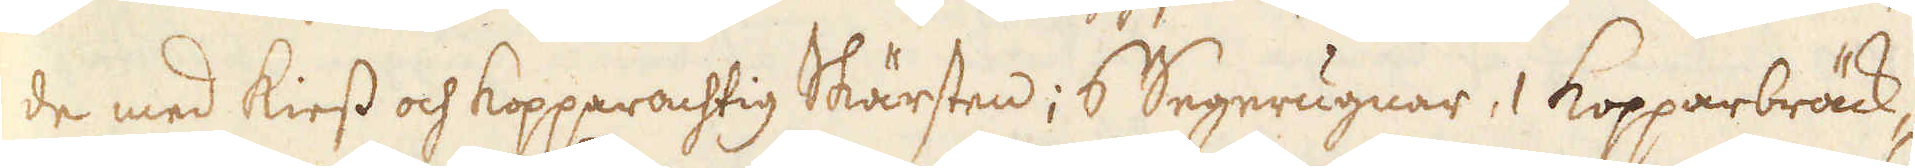de med Kiess och Kopparachtig Skärsten; 6 Segerugnar, 1 Kopparbräck-
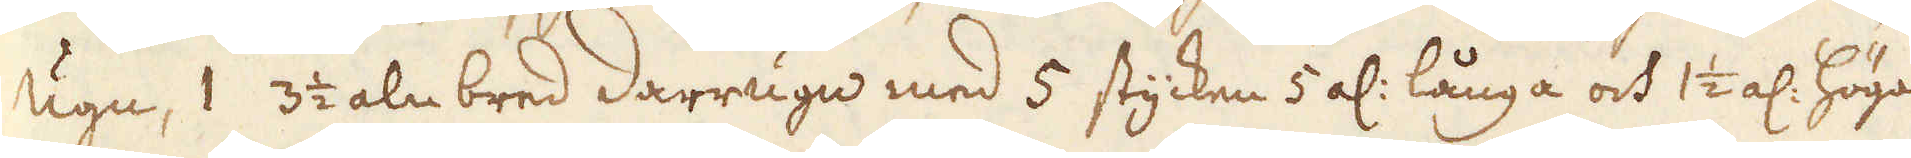ugn, 1 3 1/2 aln bred Darrugn med 5 stycken 5 al: långa och 1 1/2 al: höga
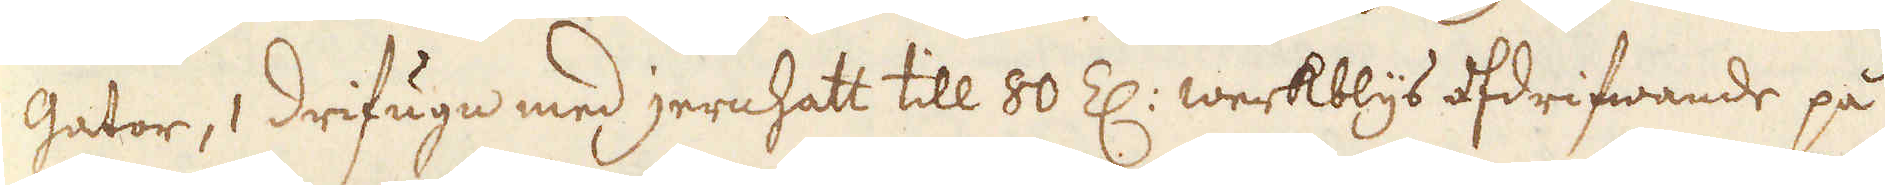gator, 1 Drifugn med jernhatt till 80 Z: werkblys afdrifwande på
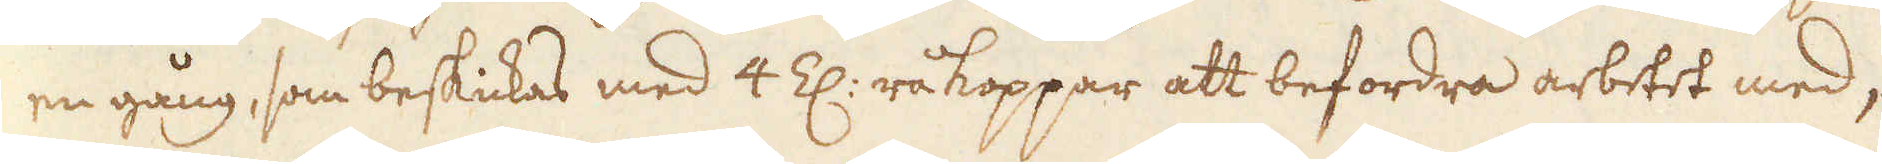en gång, som beskickas med 4 Z: råkoppar att befordra arbetet med,
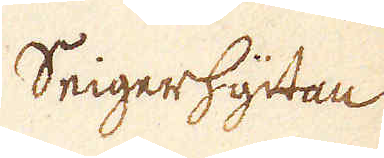Seigerhyttan
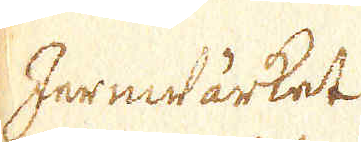Jernwärket
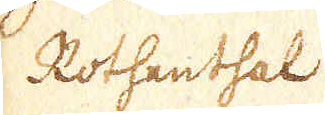Rothenthal
